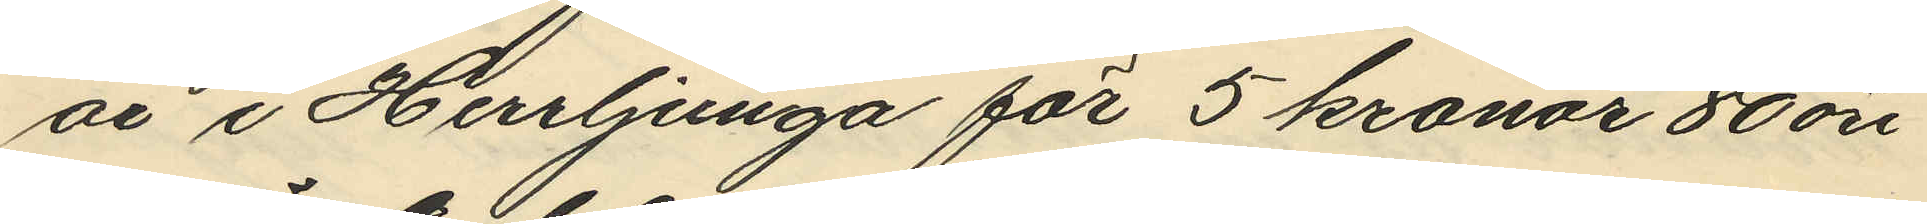år i Herrljunga för 5 kronor 80 öre
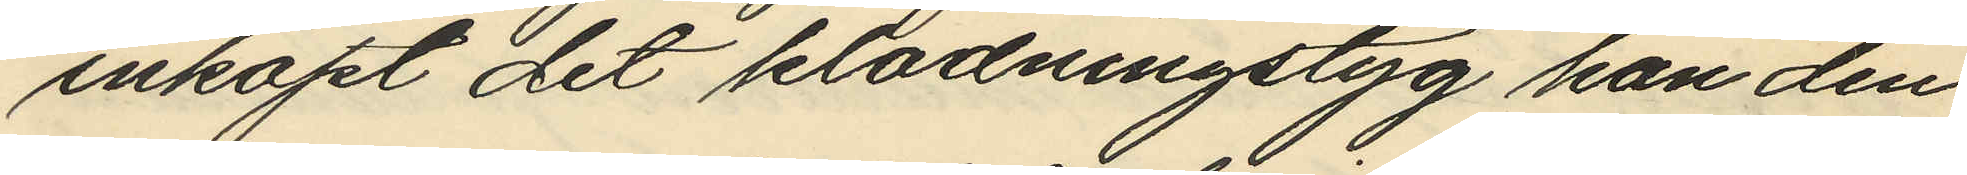inköpt det klädningstyg han den
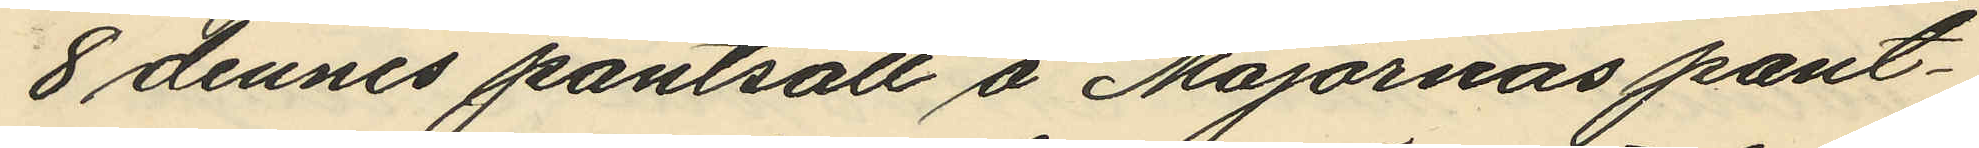8 dennes pantsatt å Majornas pant¬
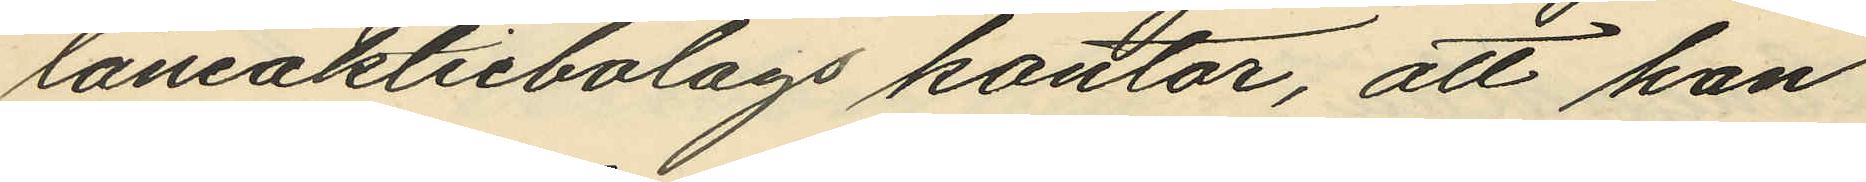låneaktiebolags kontor, att han
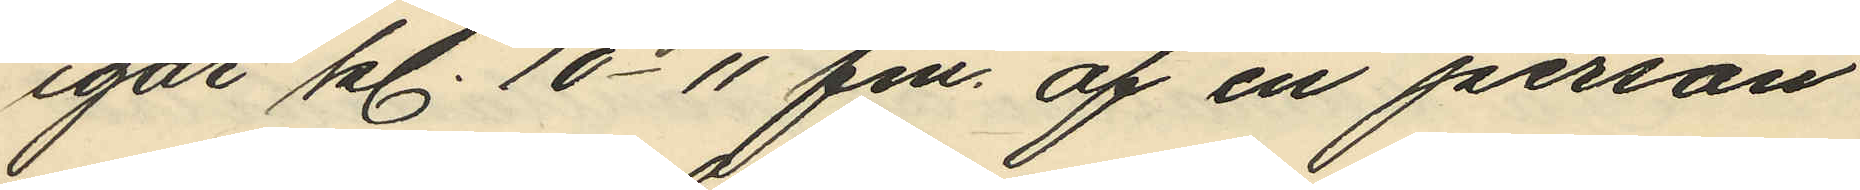igår kl. 10- 11 fm. af en person
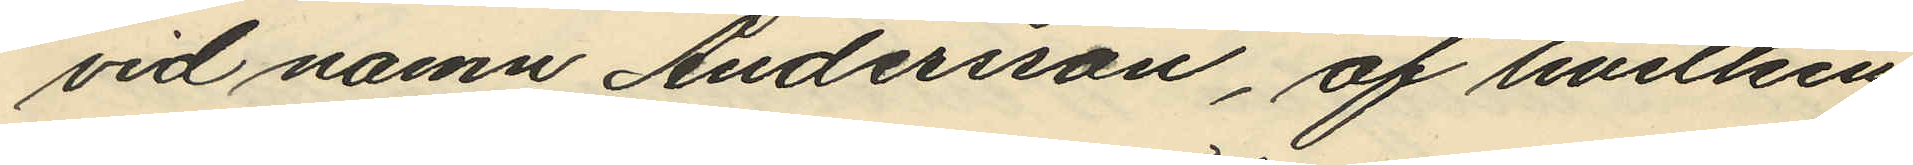vid namn Andersson, af hvilken
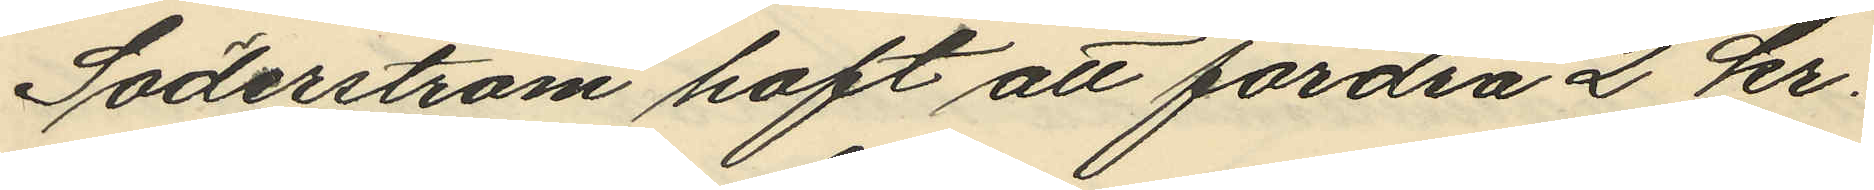Söderström haft att fordra 2 kr.
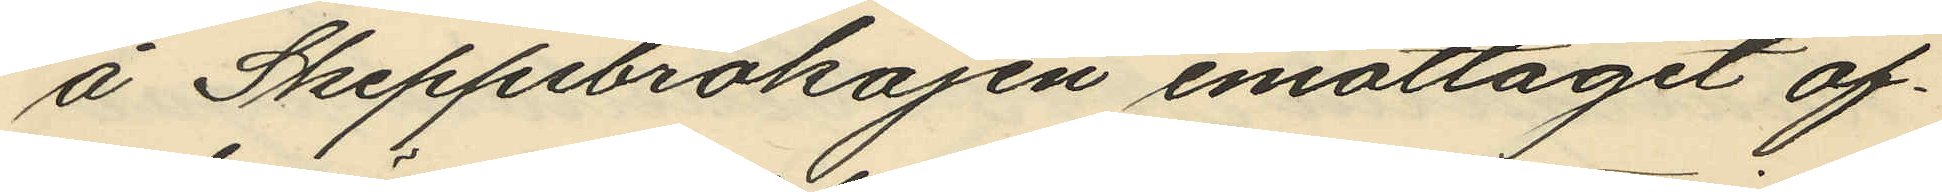å Skeppsbrokajen emottagit of¬
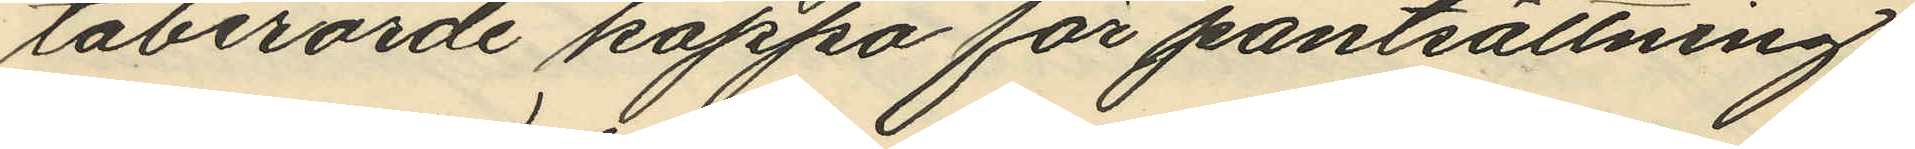taberörde kappa för pantsättning;
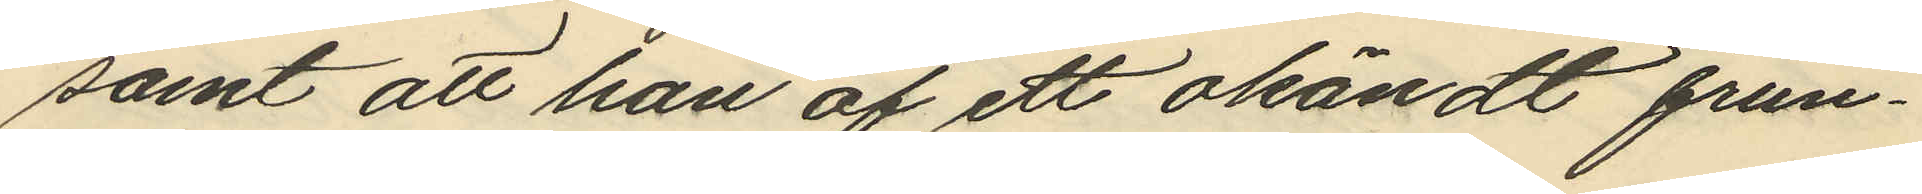samt att han af ett okändt frun¬
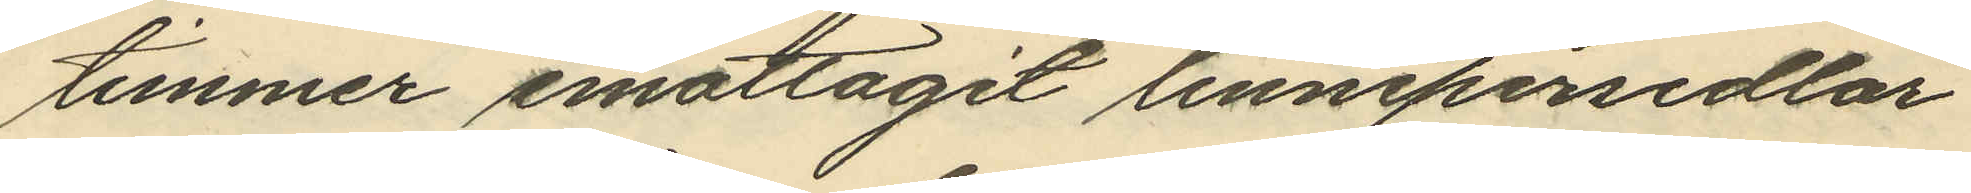timmer emottagit linnepersedlar
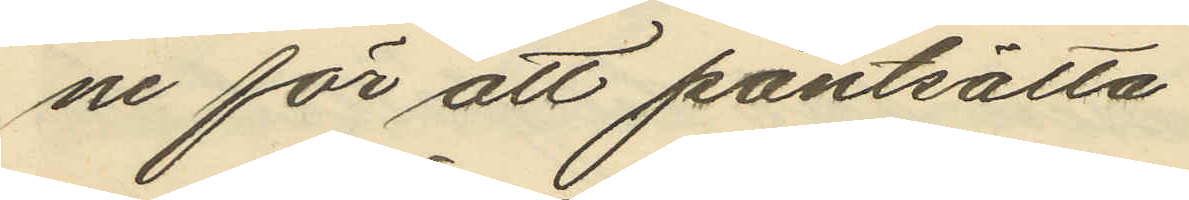ne för att pantsätta
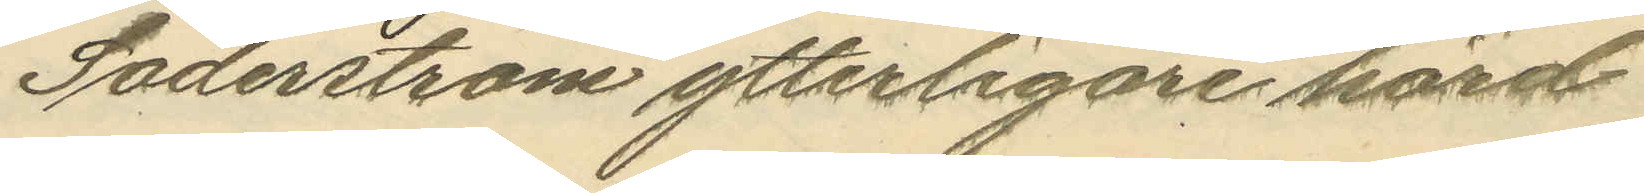Söderström ytterligare hörd
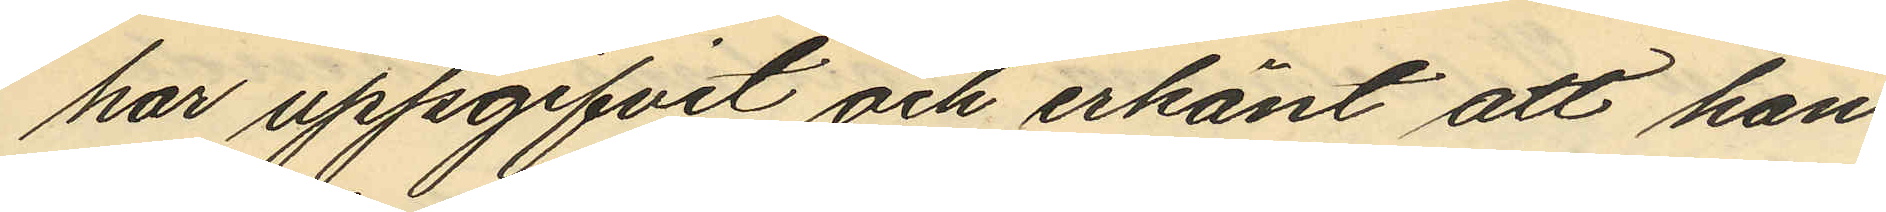har uppgifvit och erkänt att han
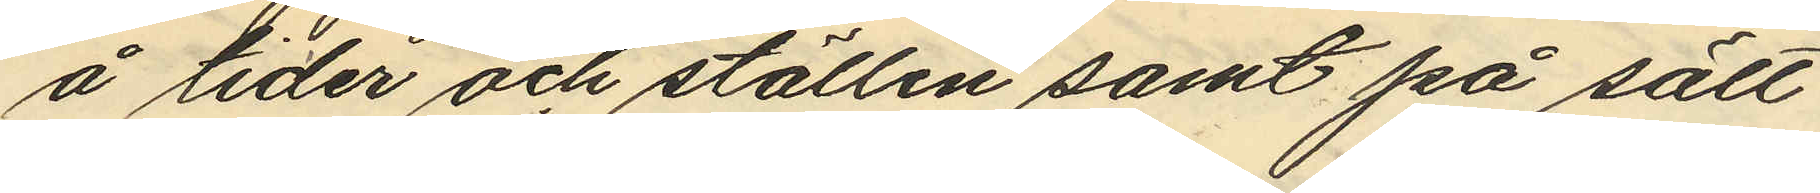å tider och ställen samt på sätt
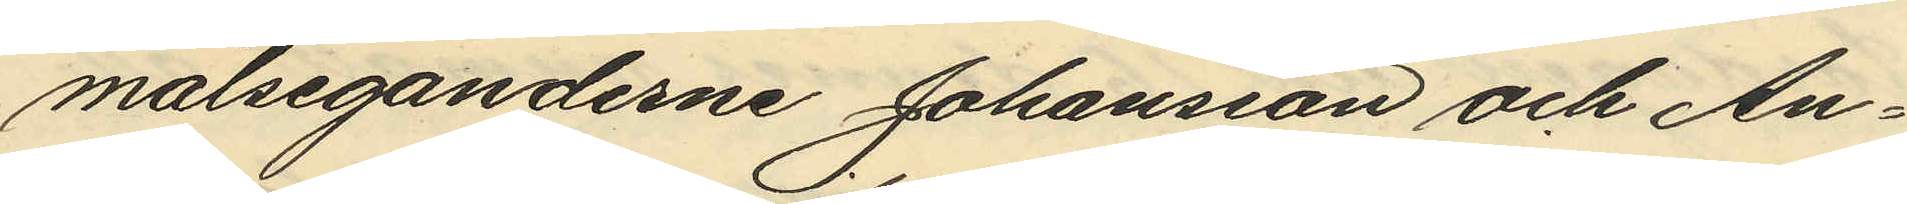målseganderne Johansson och An¬
